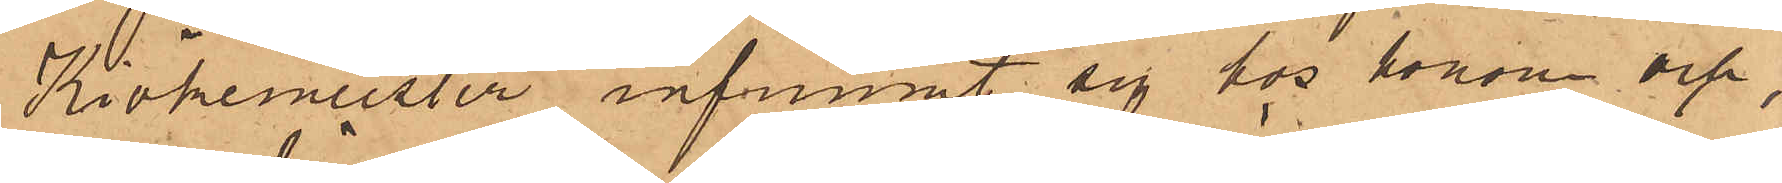Kiökemeister infunnit sig hos honom och,
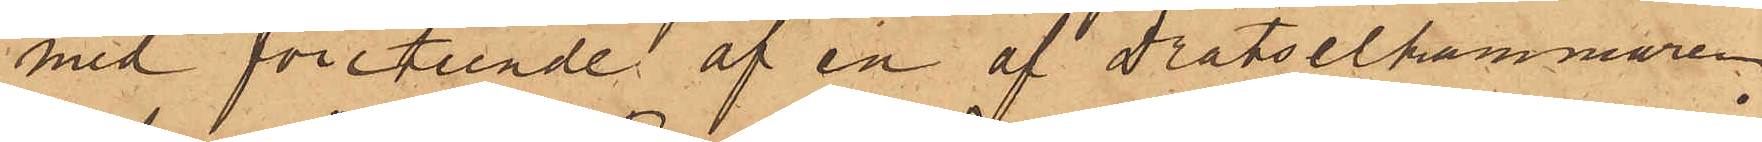med företeende af en af Drätselkammaren
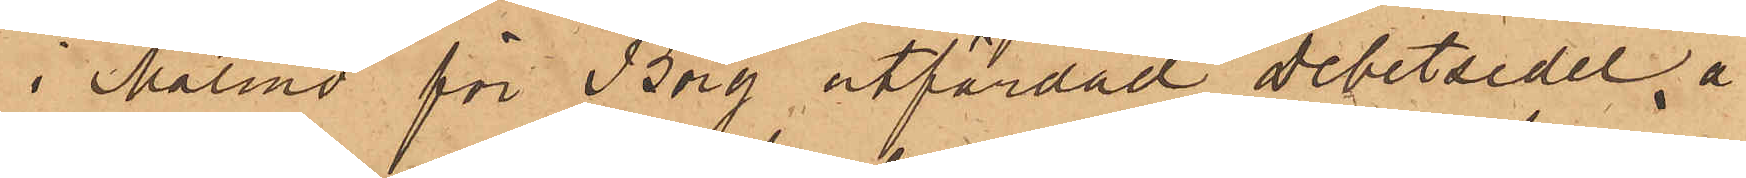i Malmö för Borg utfärdad debetsedel å
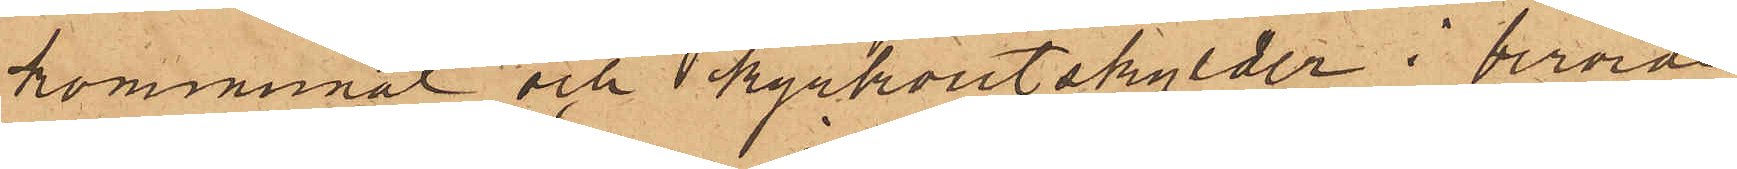kommunal och kyrkoutskylder i berörde
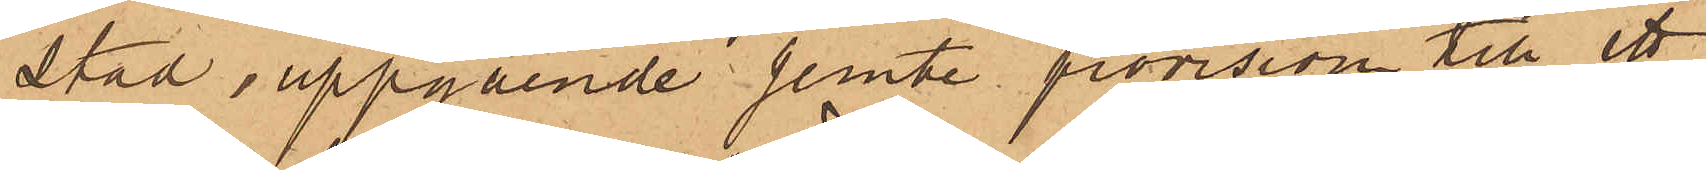stad uppgående jemte provision till ett
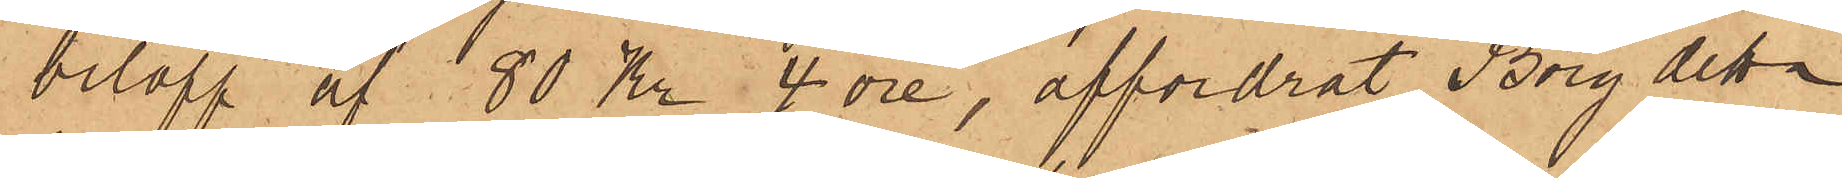belopp af 80 Kr 4 öre, affordrat Borg detta
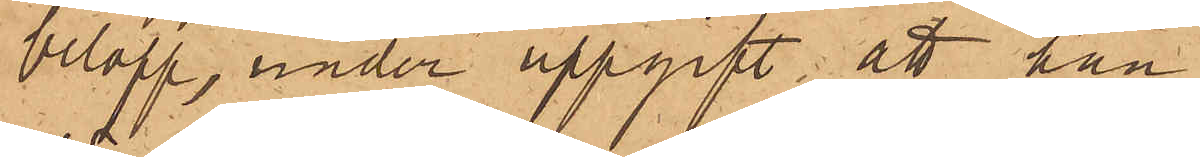belopp, under uppgift; att han
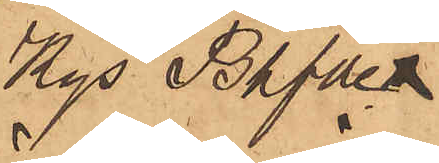Kgl Bhfde
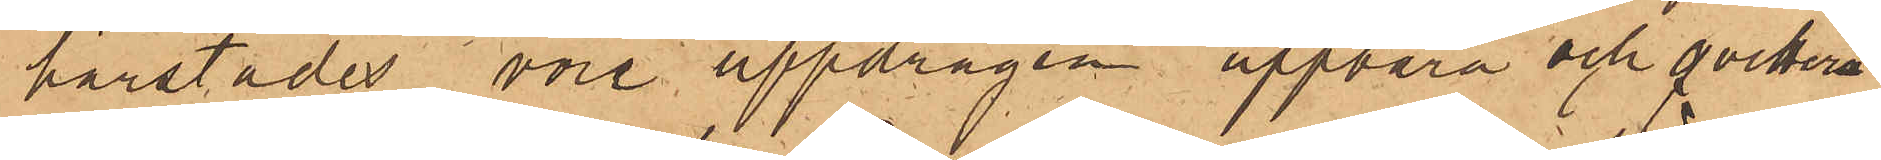härstädes vore uppdragen uppbära och qvittera
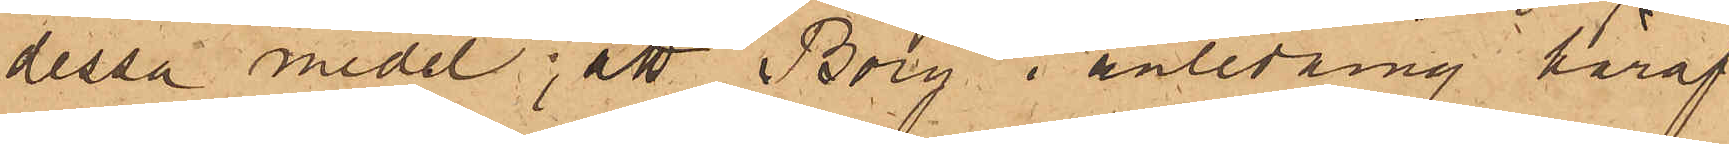dessa medel; att Borg i anledning häraf
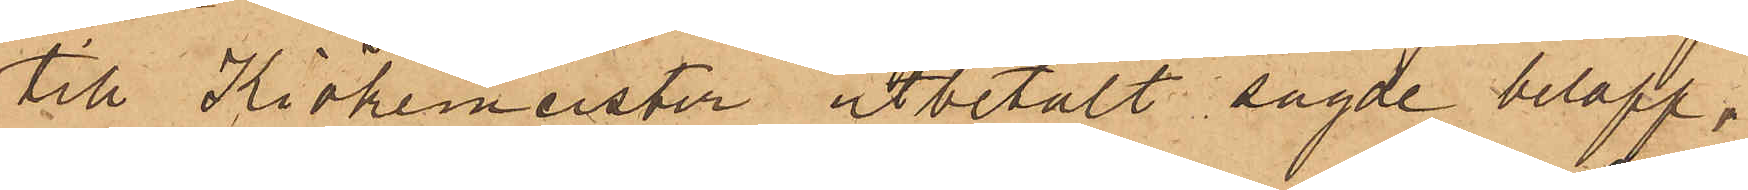till Kiökemeister utbetalt sagde belopp,
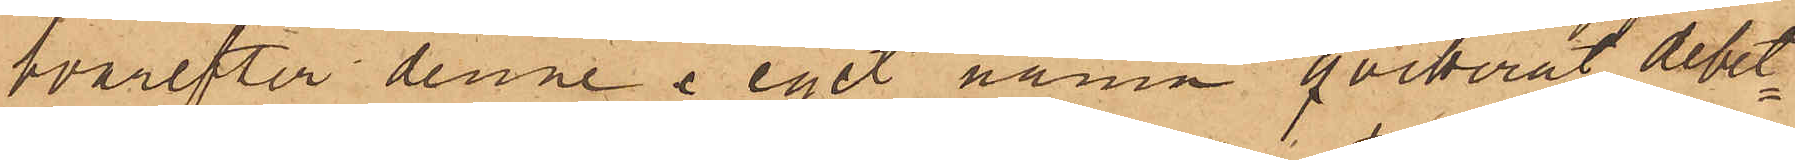hvarefter denne i eget namn qvitterat debet¬
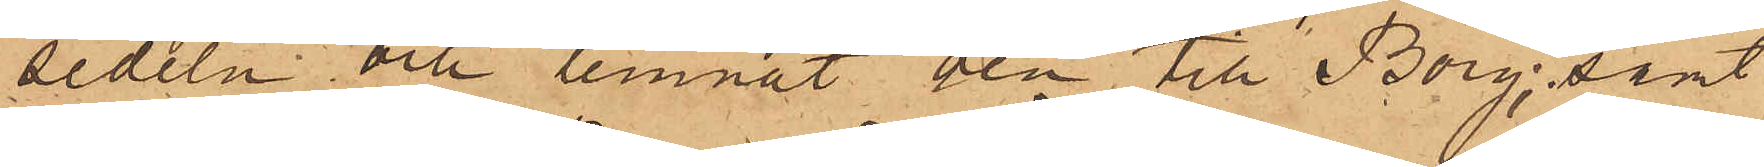sedeln och lemnat den till Borg; samt
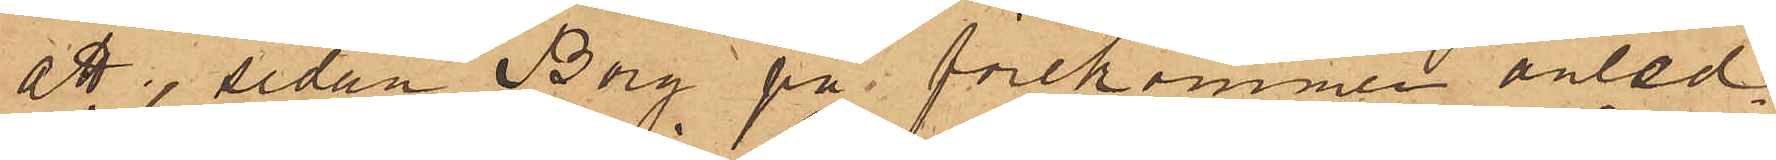att sedan Borg på förekommen anled¬
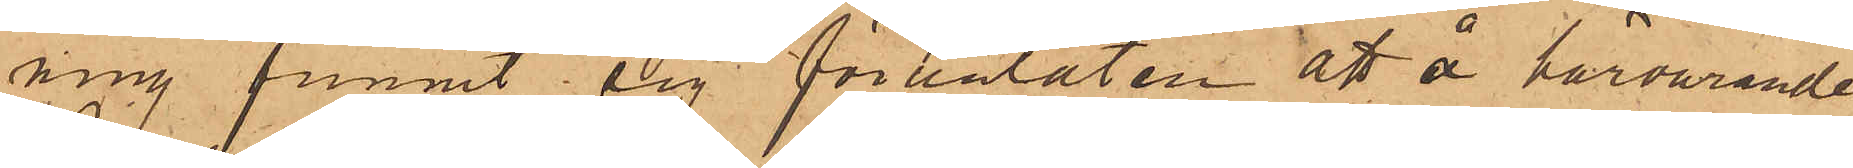ning funnit sig föranlåten att å härvarande
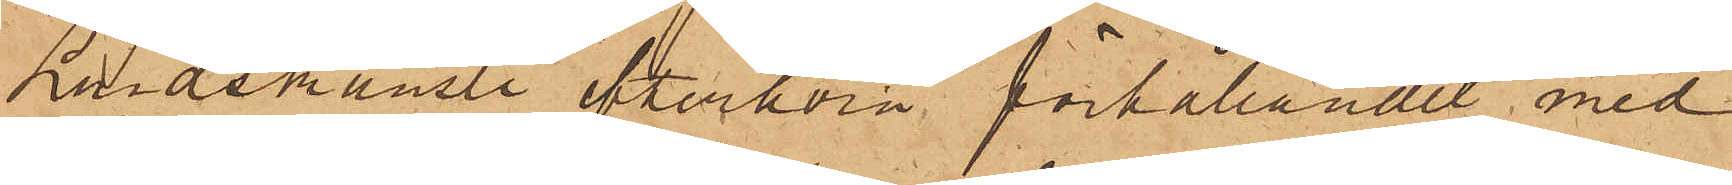Landskansli efterhöra förhållandet med
